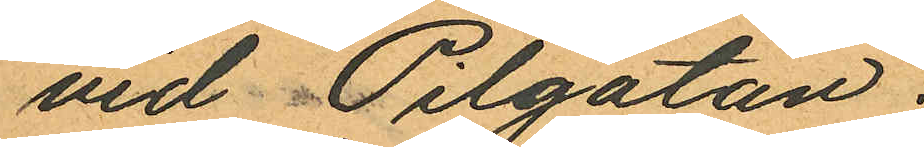vid Pilgatan.
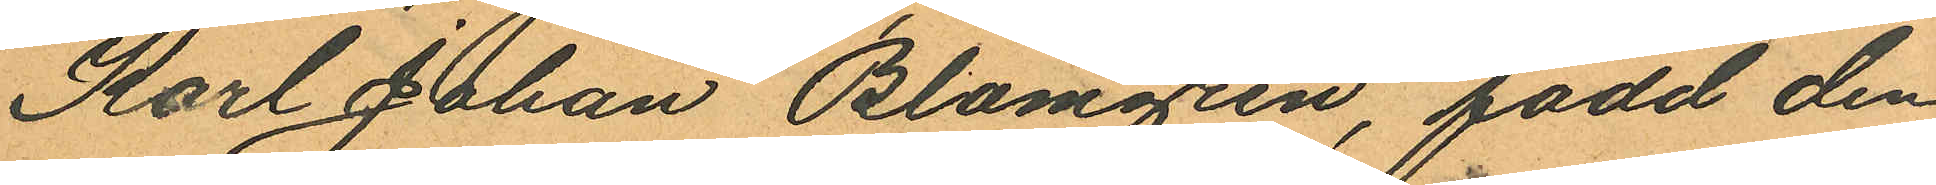Karl Johan Blomgren, född den
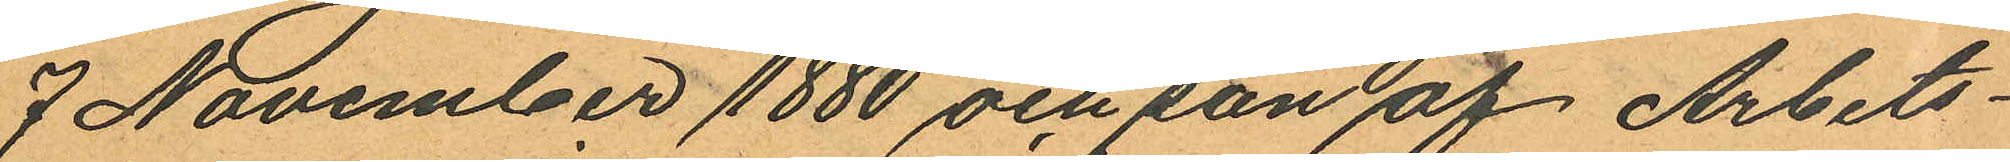7 November 1880 och son af Arbets¬
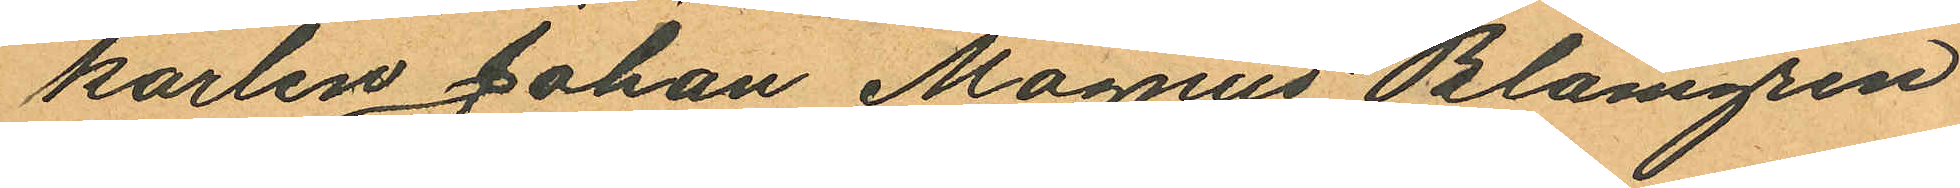karlen Johan Magnus Blomgren
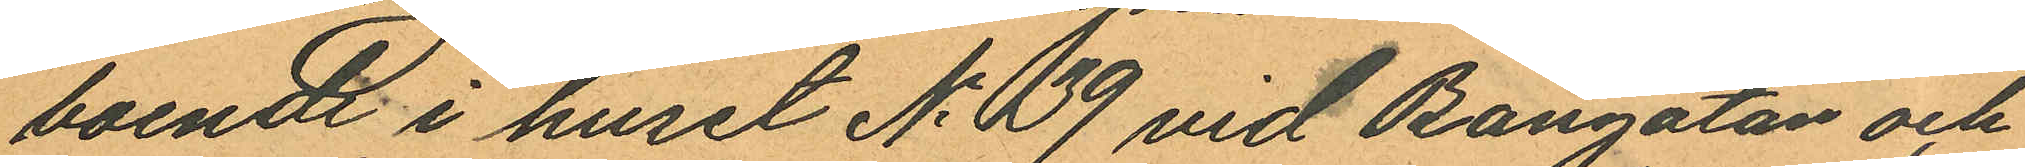boende i huset No 39 vid Bangatan och
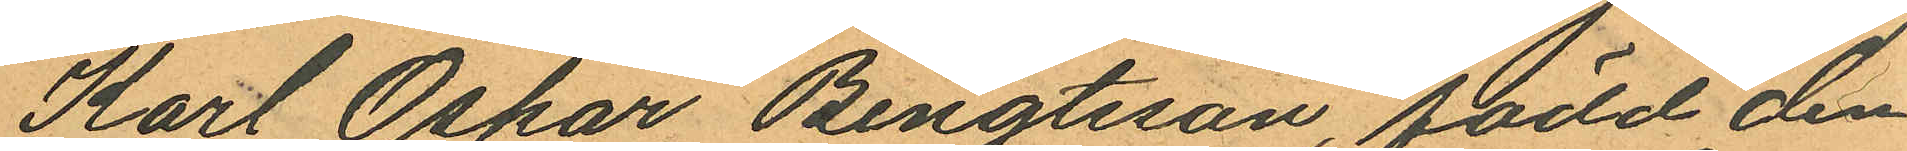Kart Oskar Bengtsson född den
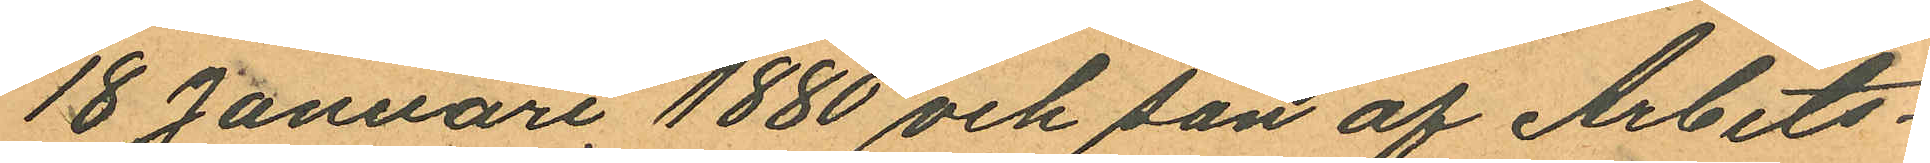18 Januari 1880 och son af Arbets¬
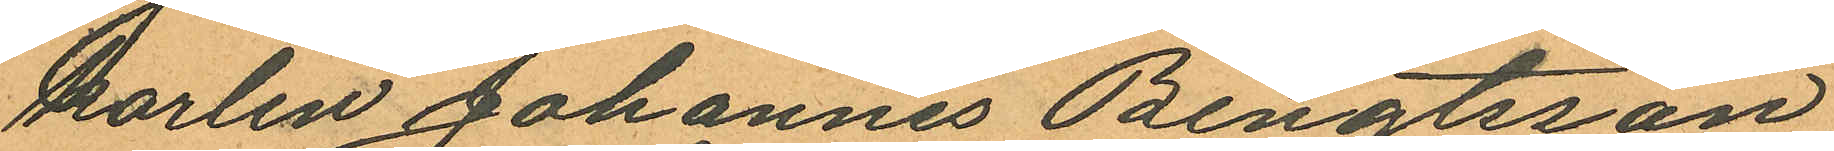karlen Johannes Bengtsson
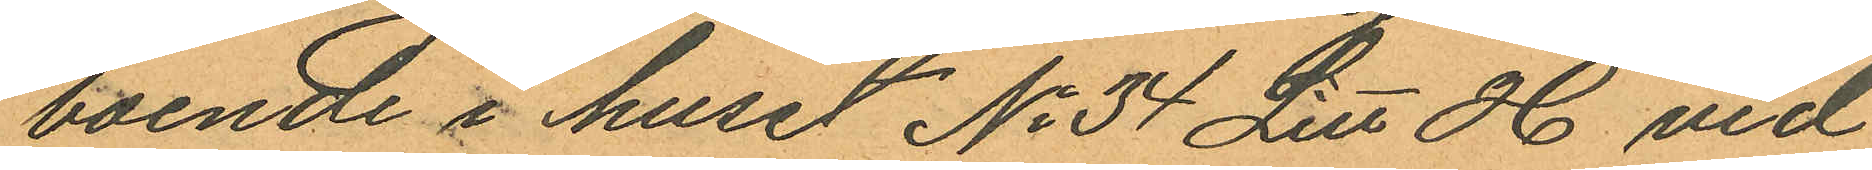boende i huset No 34 Litt H vid
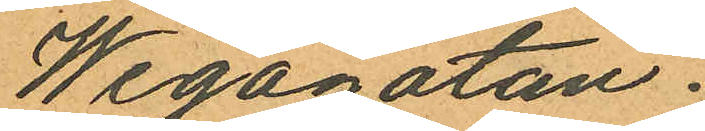Wegagatan.
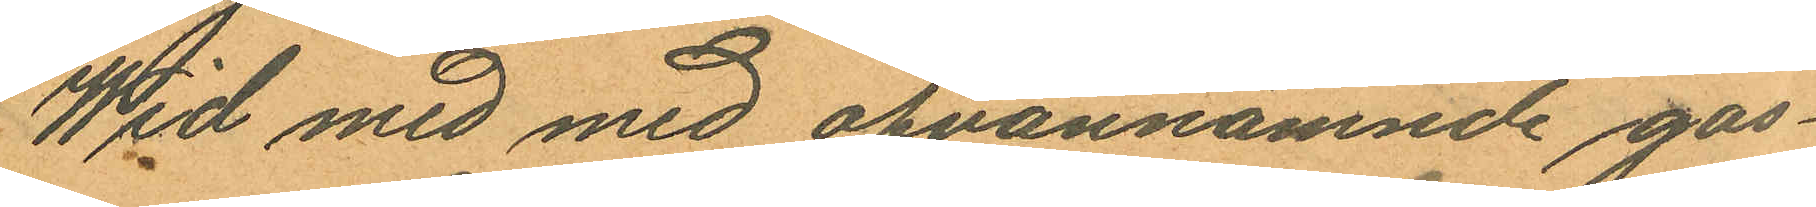Wid med med ofvannämnde gos¬
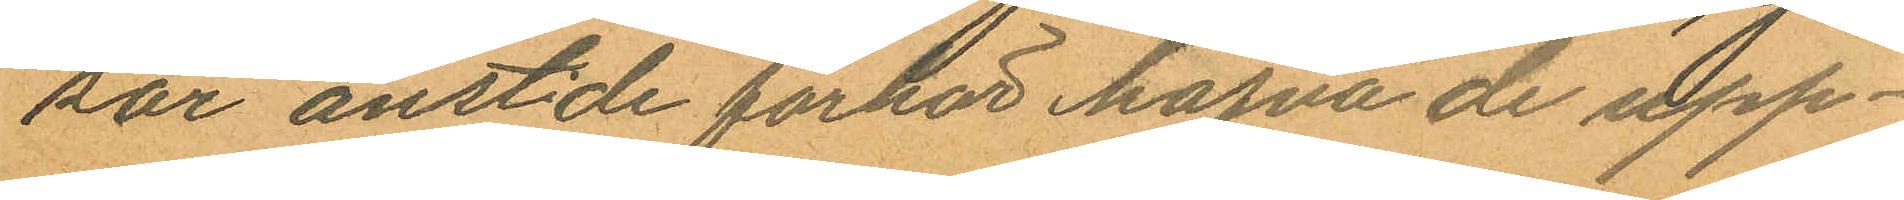sar anst:de förhör hafva de upp¬
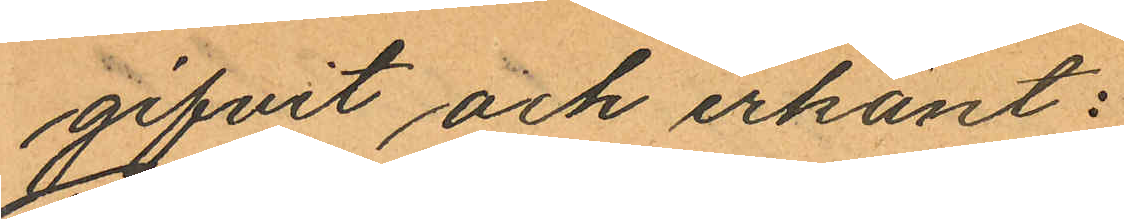gifvit och erkänt:
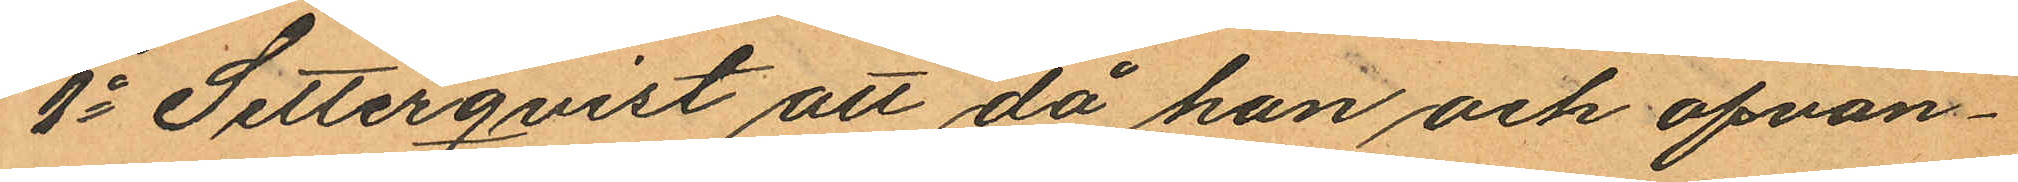1o Setterqvist att då han och ofvan¬
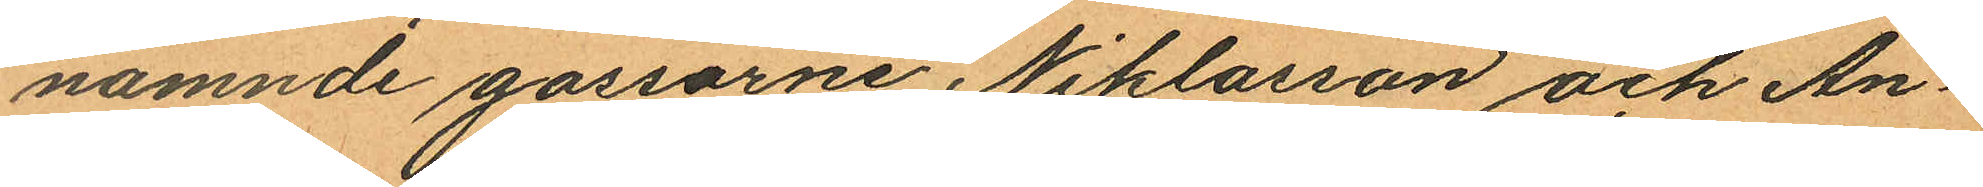nämnde gossarne Niklasson och An¬
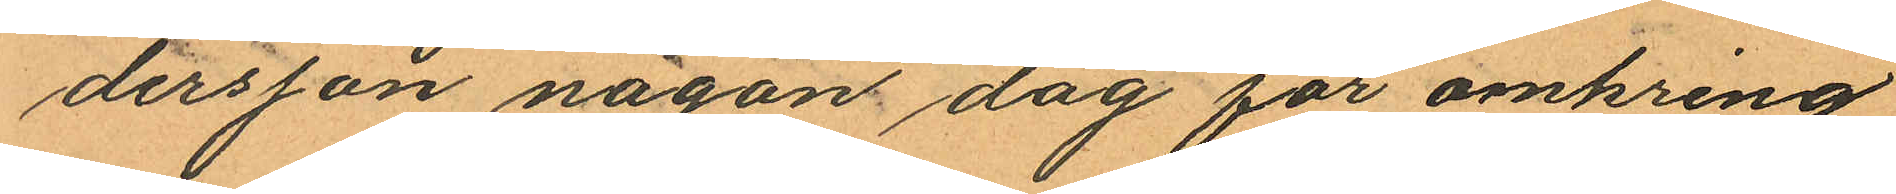dersson någon dag för omkring
